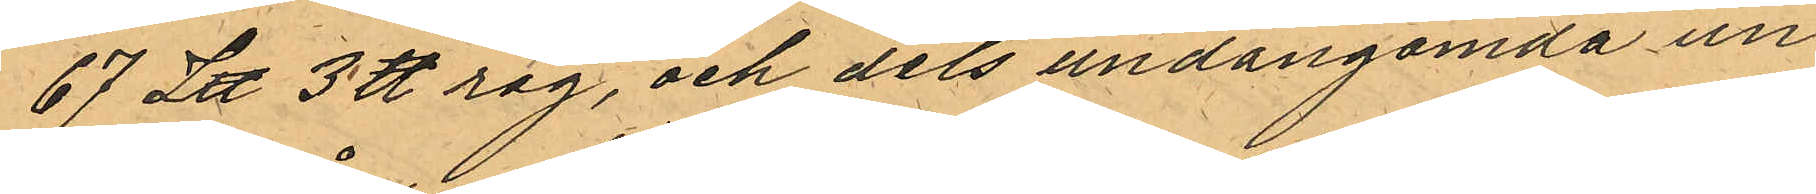67 L℔ 3 ℔ råg, och dels undangömda un¬
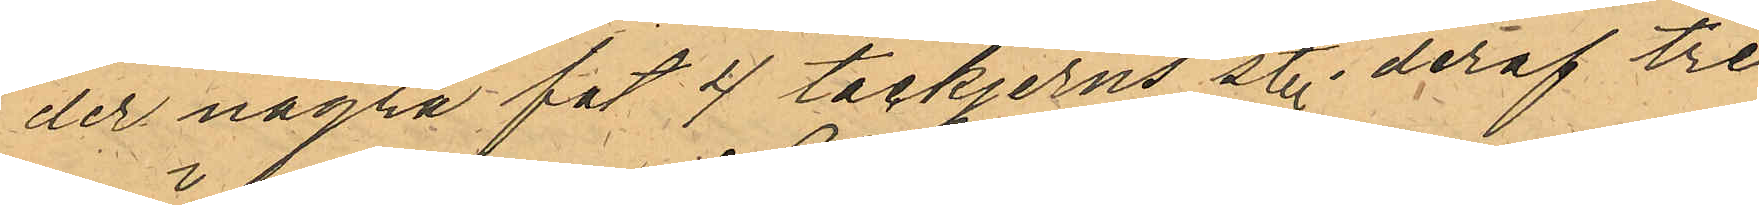der några fat 4 tackjerns st. deraf tre
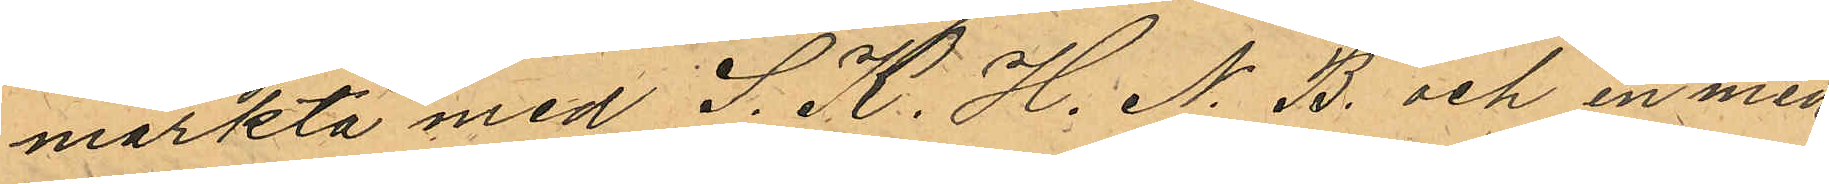märkta med S. K. H. N. B. och en med
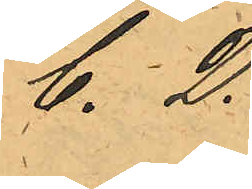C. D.
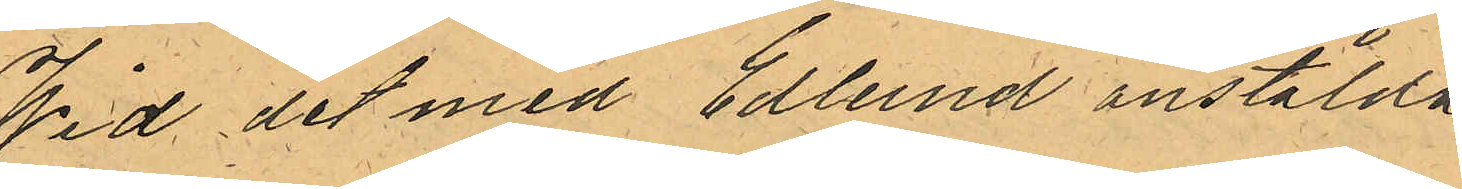Wid det med Edlund anstälda
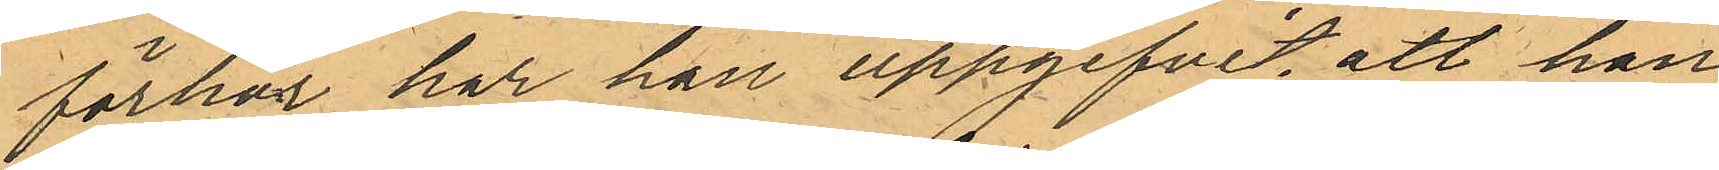förhör har han uppgifvit, att han
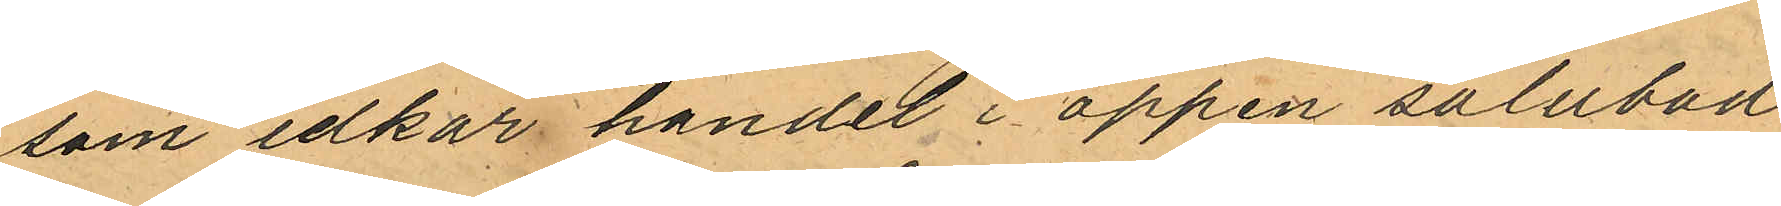som idkar handel i öppen salubad
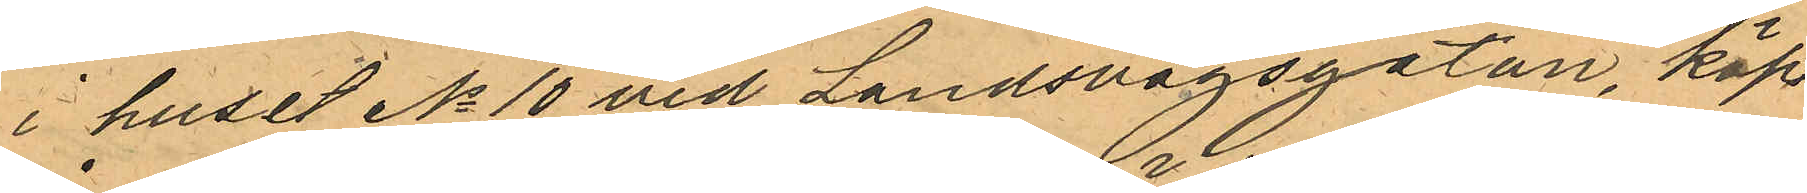i huset No 10 vid Landsvägsgatan, köpt
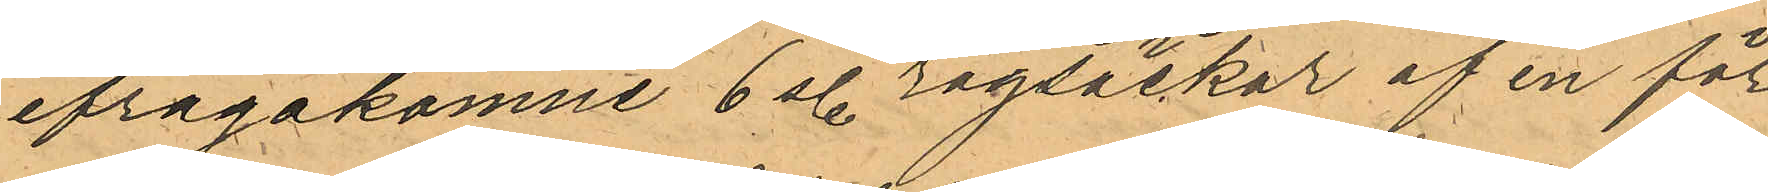ifrågakomne 6 st. rågsäckar af en för
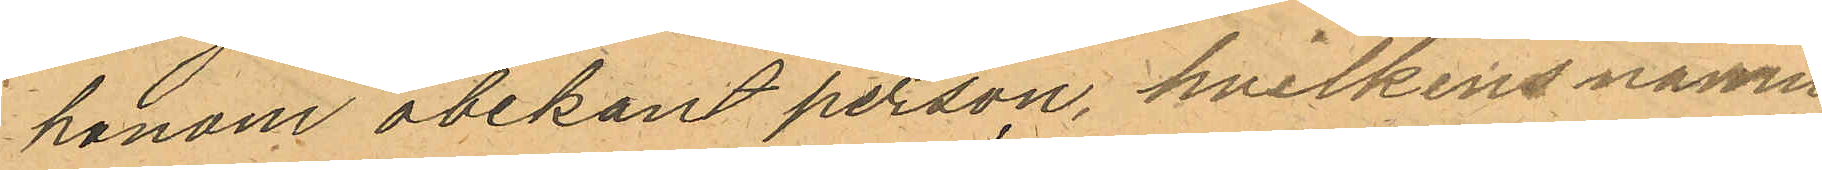honom obekant person, hvilkens namn
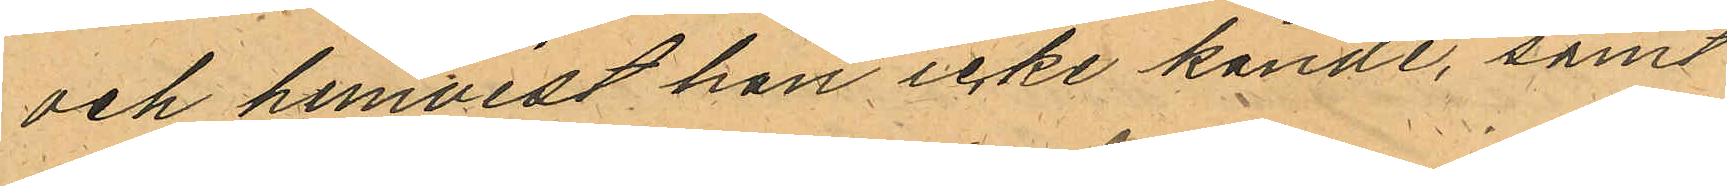och hemvist han icke kände, samt
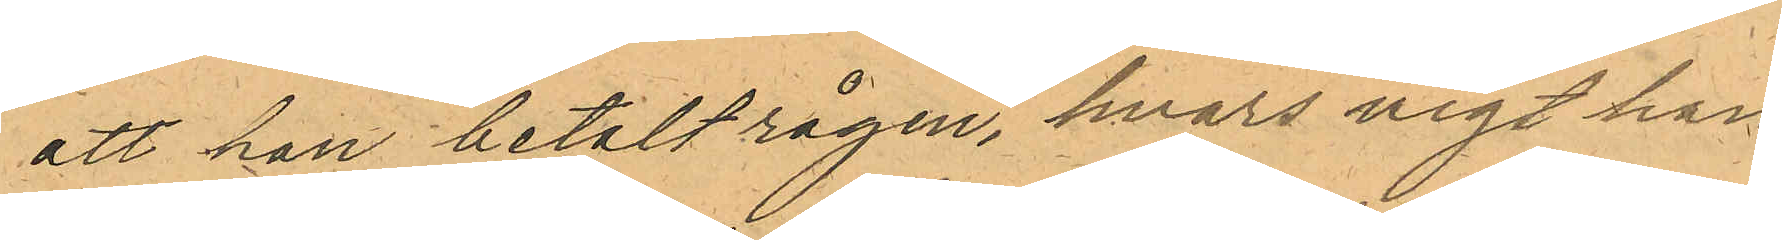att han betalt rågen, hvars vigt han
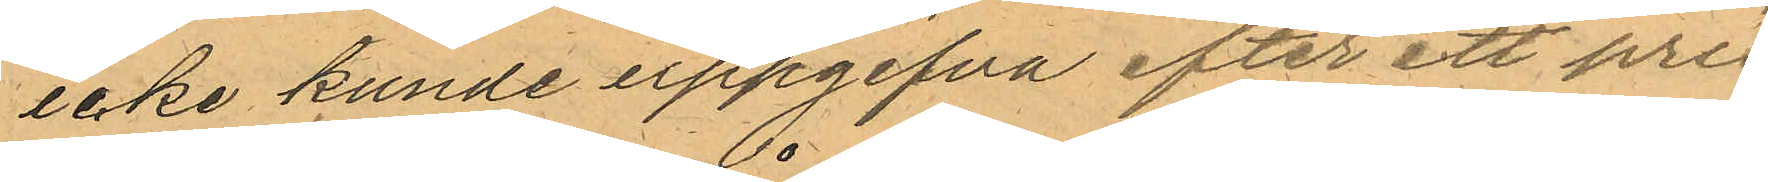icke kunde uppgifva efter ett pris¬
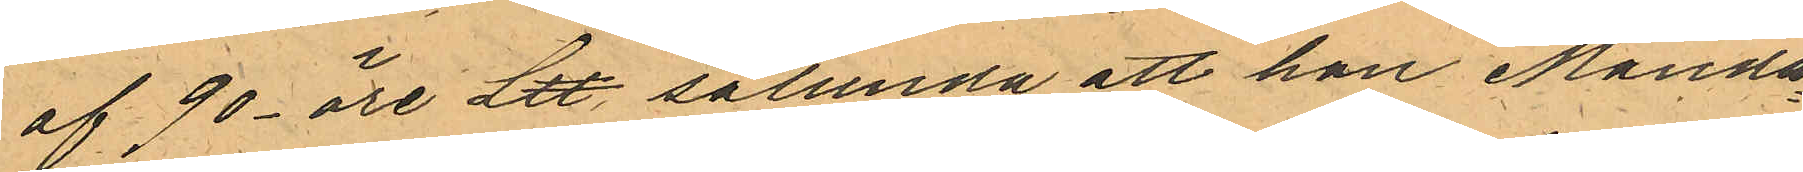af 90- öre L℔, sålunda att han Månda¬
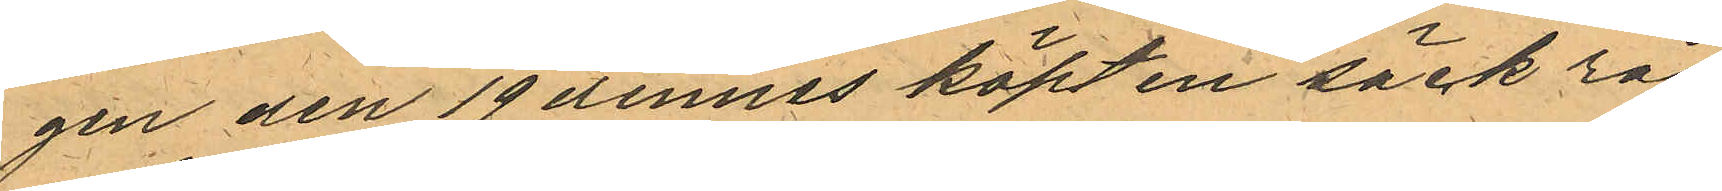gen den 19 dennes köpt en säck råg
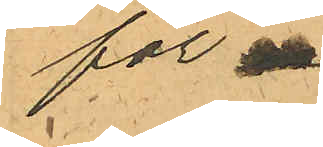för
